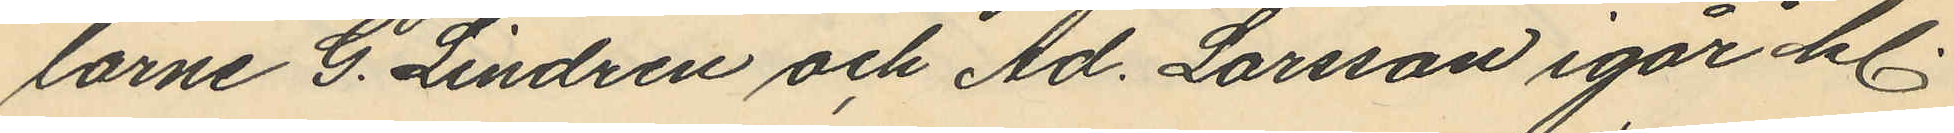larne G. Lindren och Ad. Larsson igår kl.
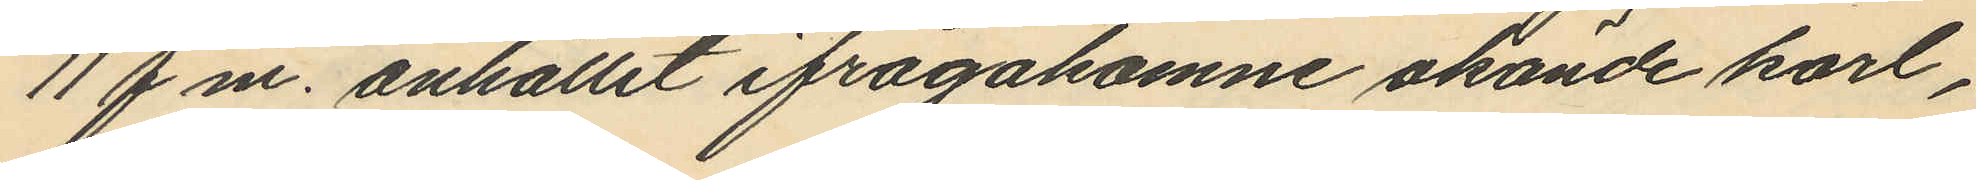11 f.m. anhållit ifrågakomne okände karl,
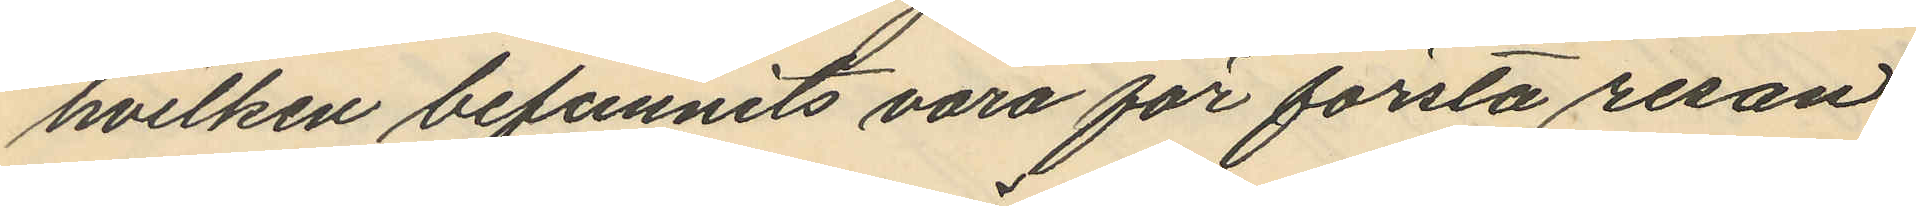hvilken befunnits vara för första resan
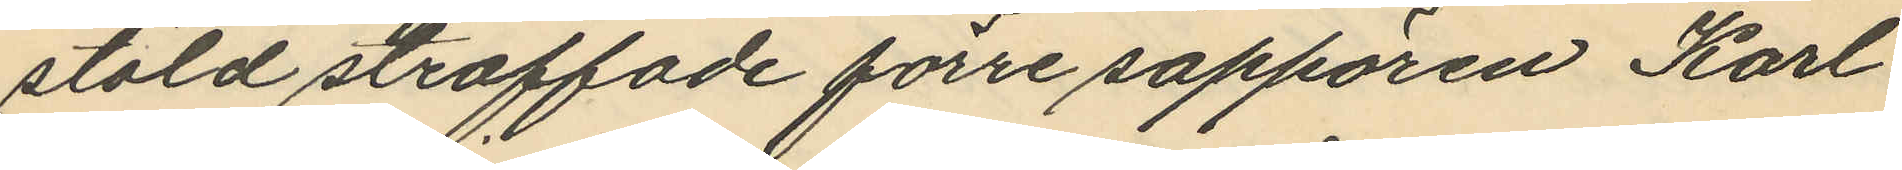stöld straffade förre sappören Karl
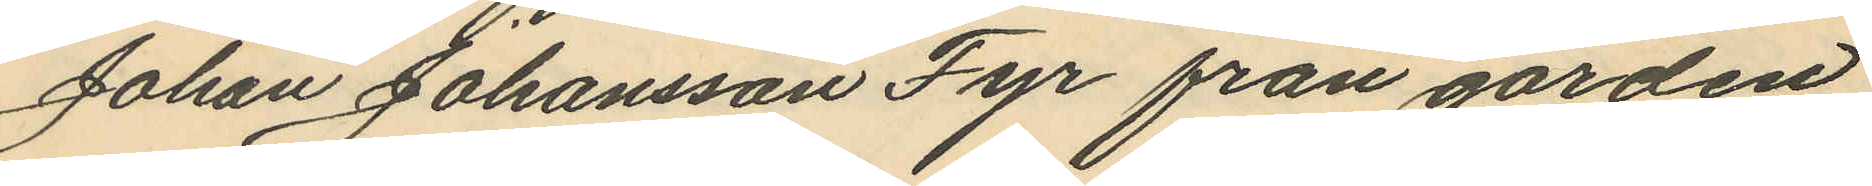Johan Johansson Fyr från gården
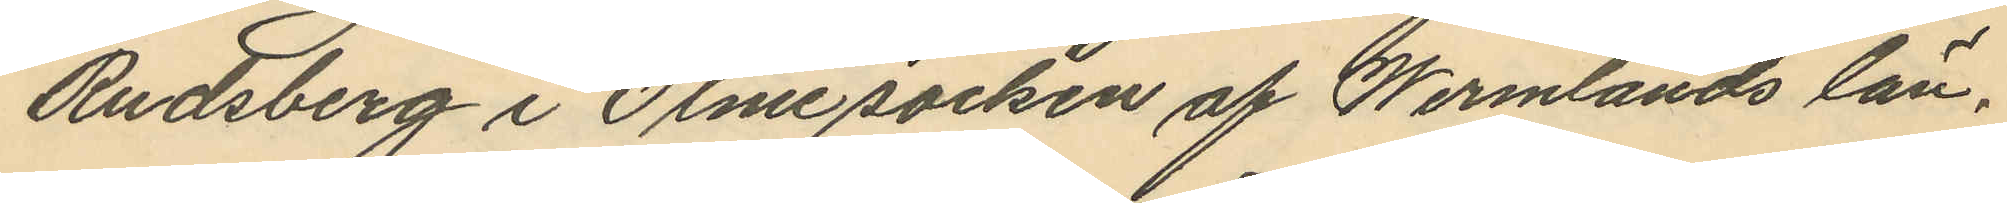Rudsberg i Ölme socken af Wermlands län.
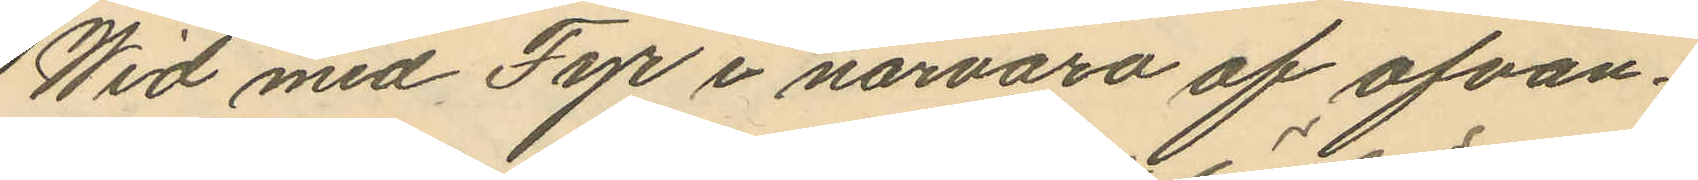Wid med Fyr i närvaro af ofvan¬
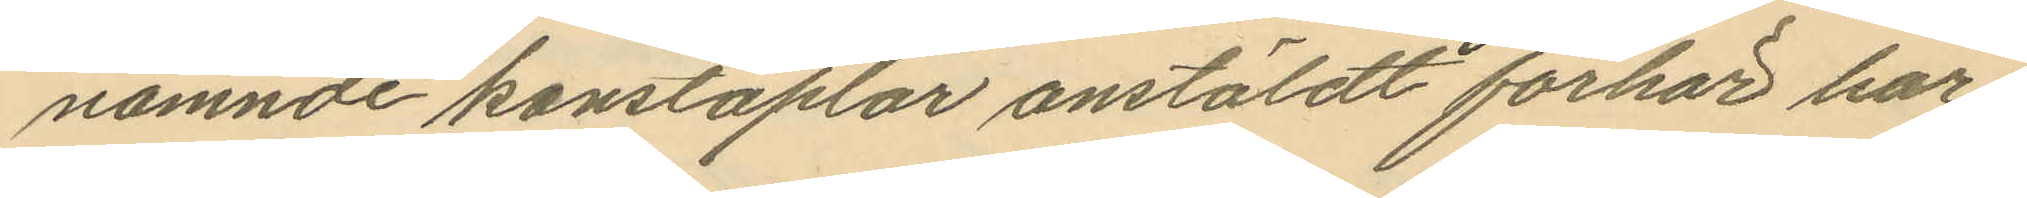nämnde konstaplar anstäldt förhör har
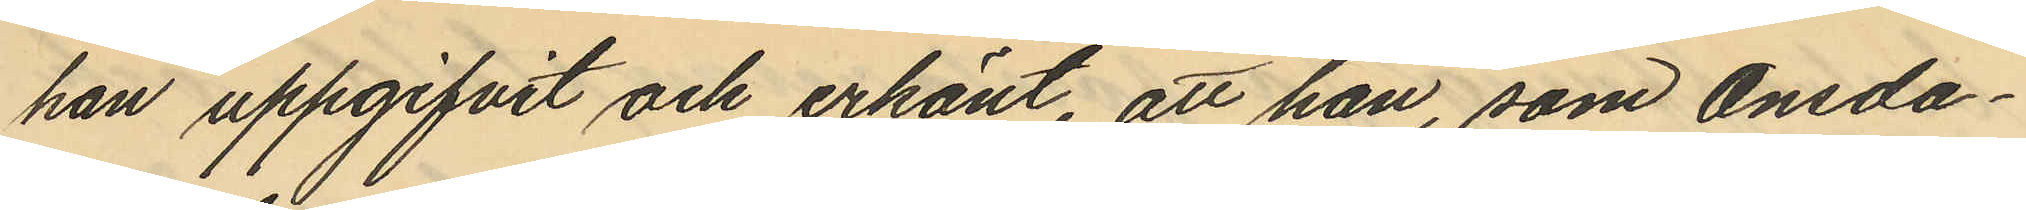han uppgifvit och erkänt, att han, som onsda¬
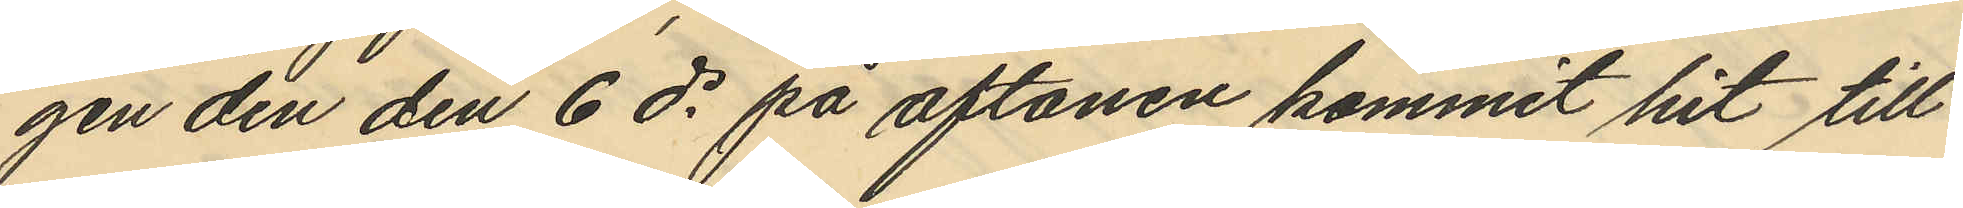gen den den 6 ds på aftonen kommit hit till
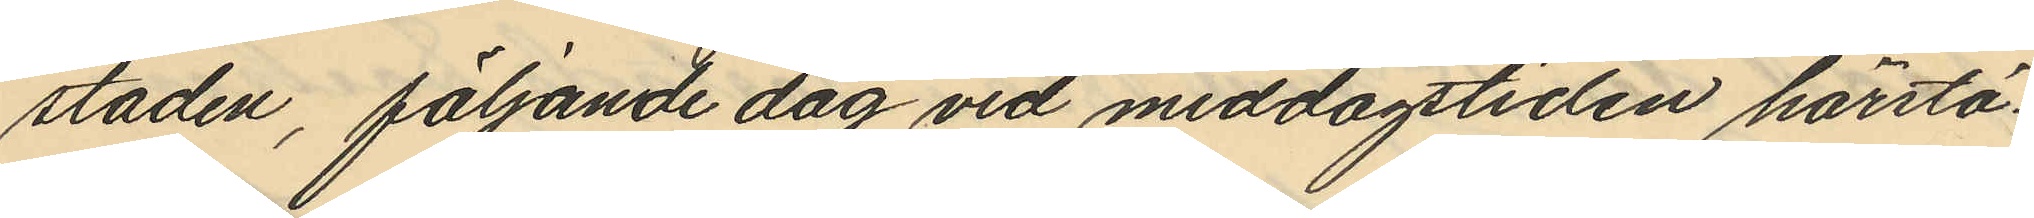staden, följande dag vid middagstiden härstä¬
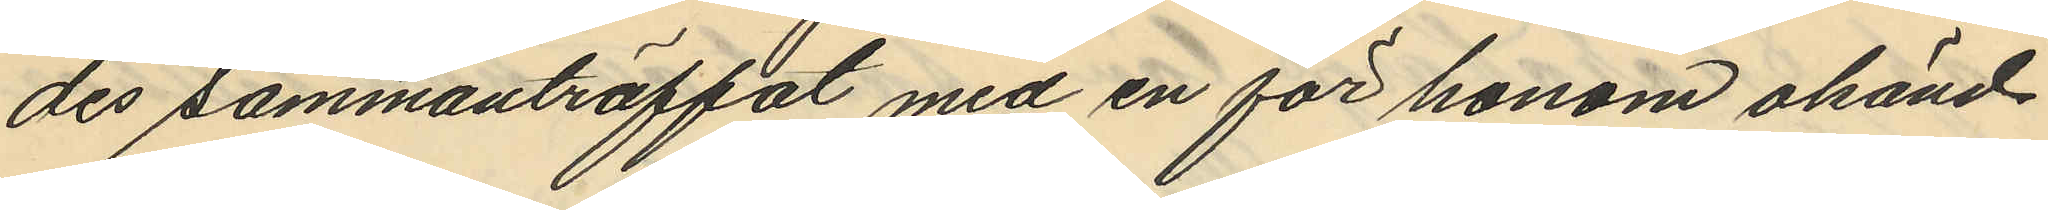des sammanträffat med en för honom okänd
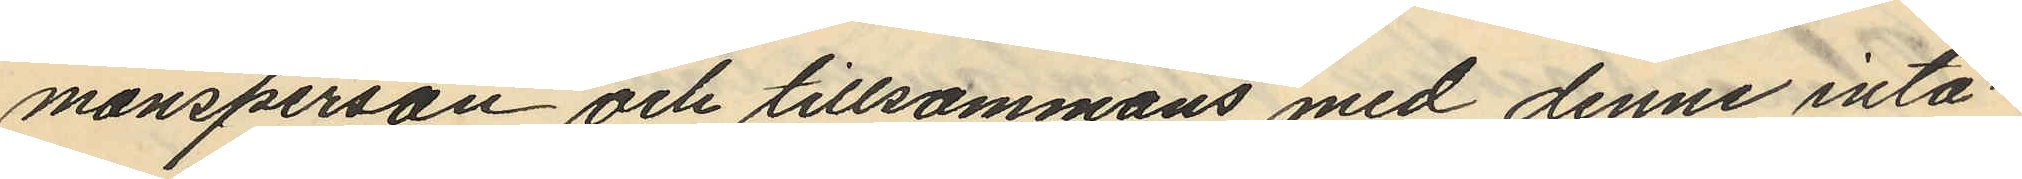mansperson och tillsammans med denne inta¬
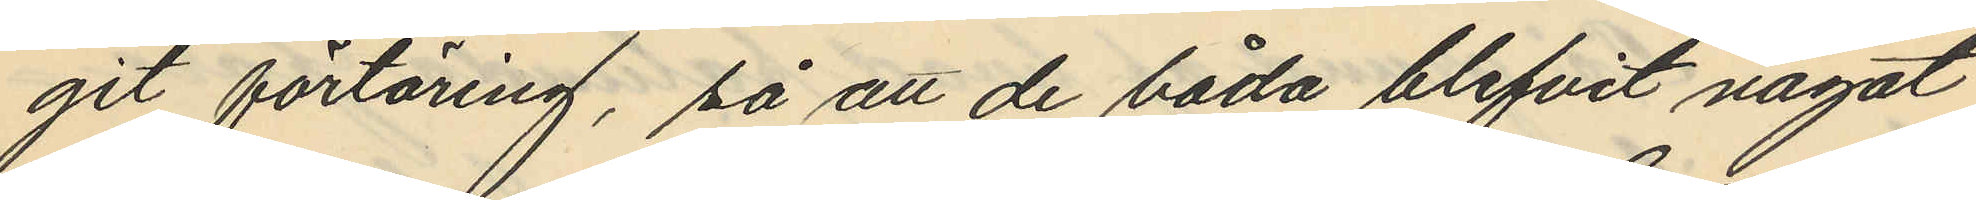git förtäring, så att de båda blifvit något
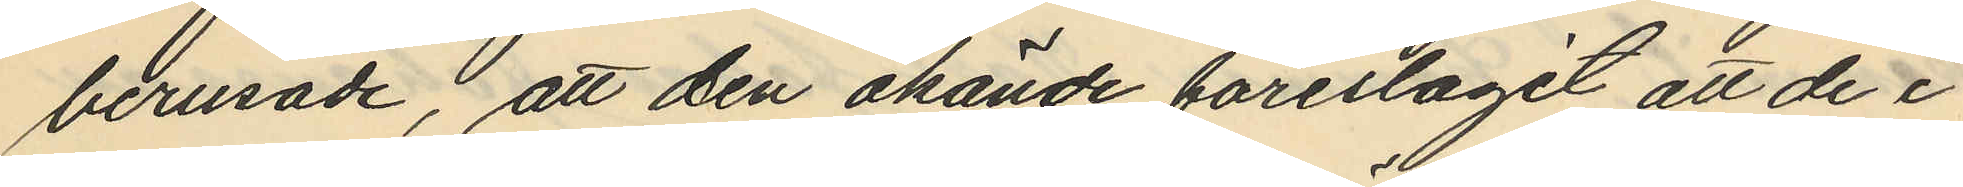berusade, att den okände föreslagit att de i
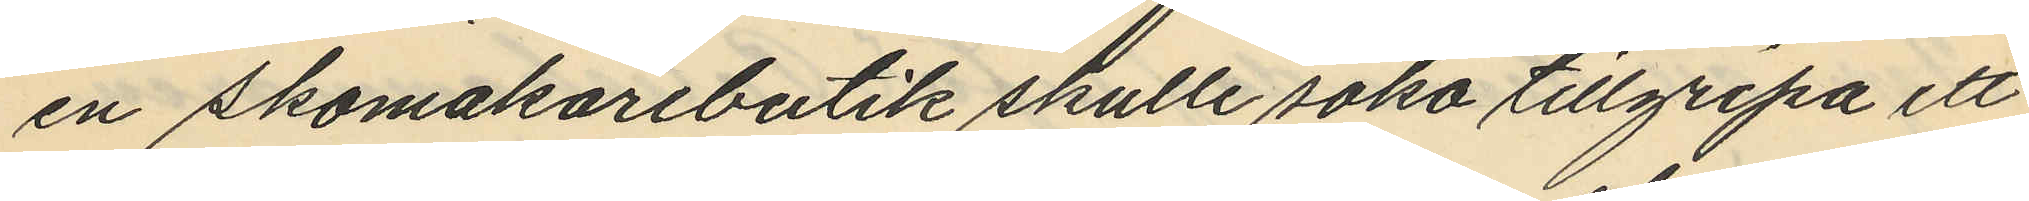en skomakarebutik skulle söka tillgripa ett
